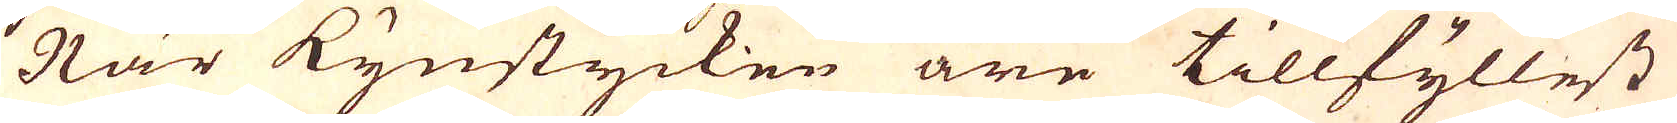När kynstycken äre tillfyllest
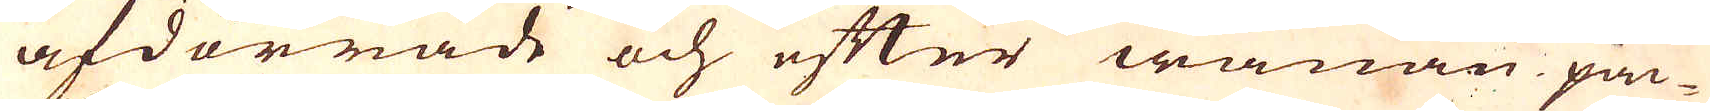afdörrade och efter wanan pac-
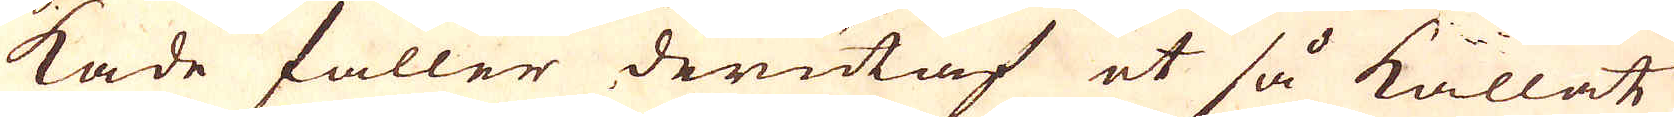kade faller derutaf et så kallat
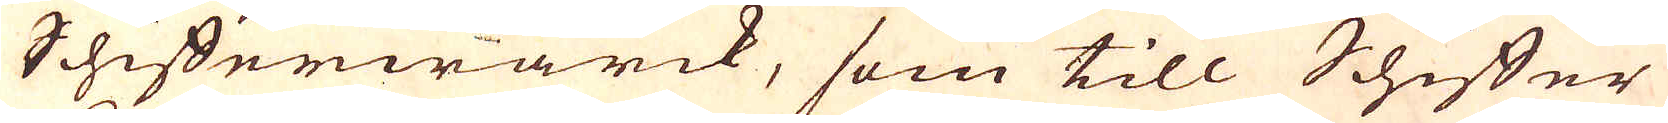Schifferwärck, som till Schiffer
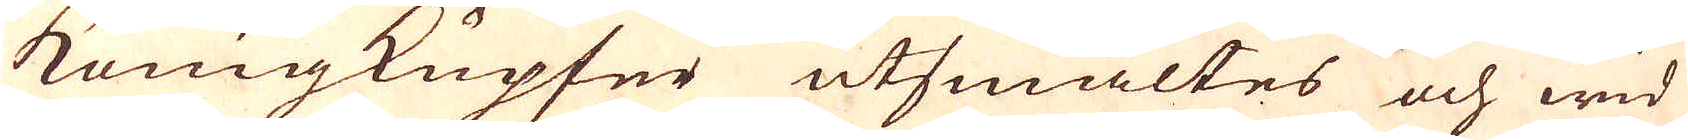königkupfer utsmältes och wid
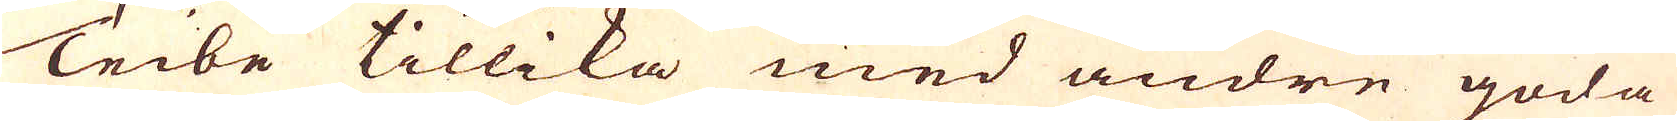Teibe tillika med andre goda
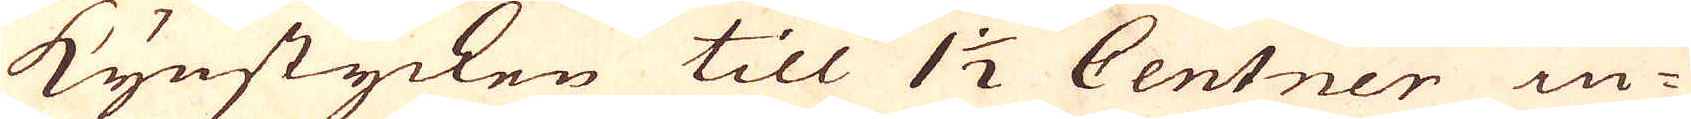Kynstycken till 1 1/2 Centner in-
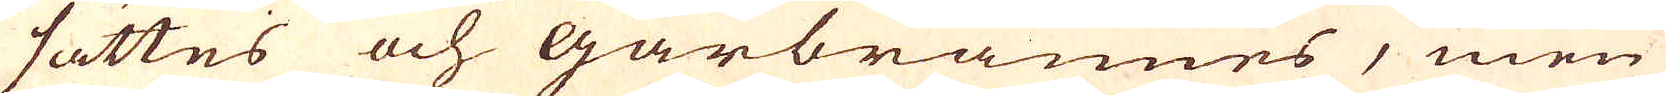sattes och Gårbrännes, men
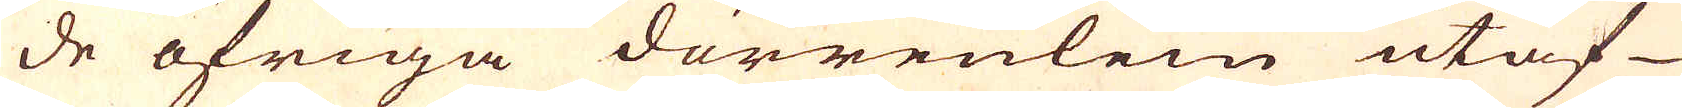de öfriga dörrenlein utaf
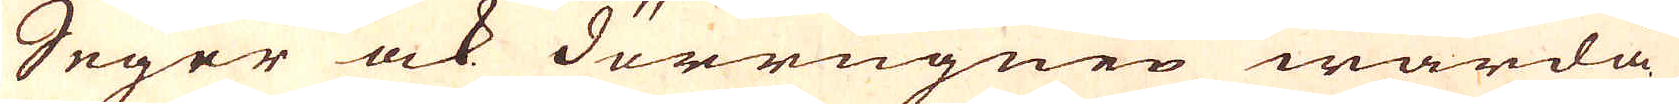Seger ock dörrugnen warda
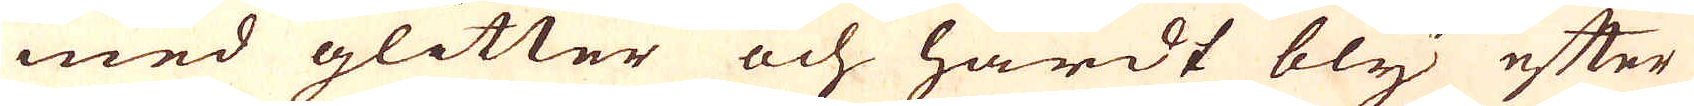med glitter och hårdt bly efter
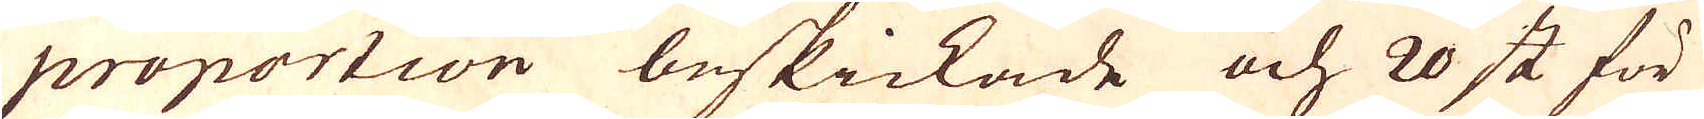proportion beskickade och 20 st för
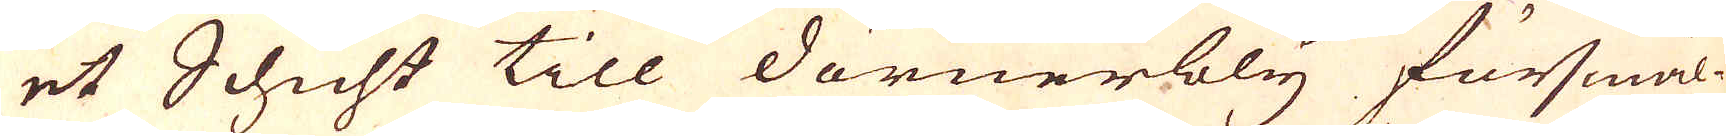et Schicht till dörnerbly försmäl-
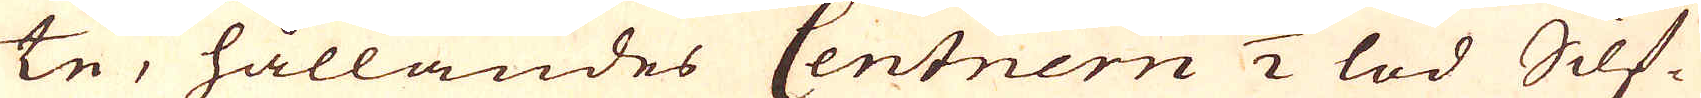te, hållandes Centnern 1/2 lod Silf-
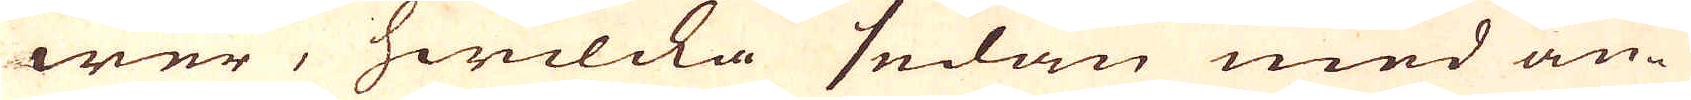wer, hwilcka sedan med an-
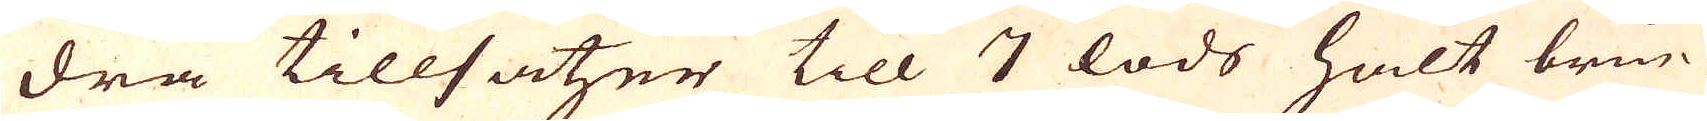dra tillsatzer till 7 lods halt brin-
